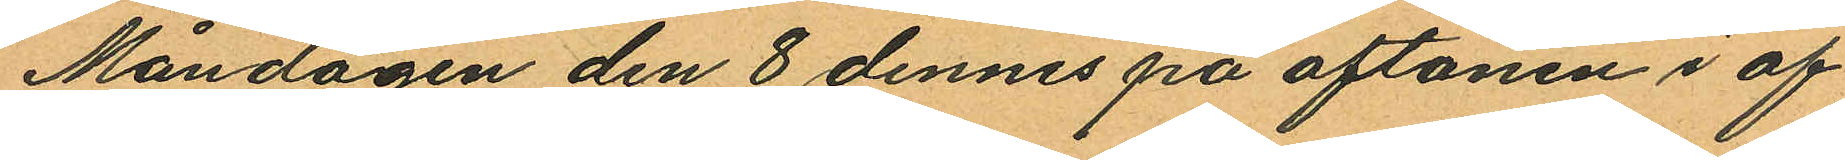Måndagen den 8 dennes på aftonen i af¬
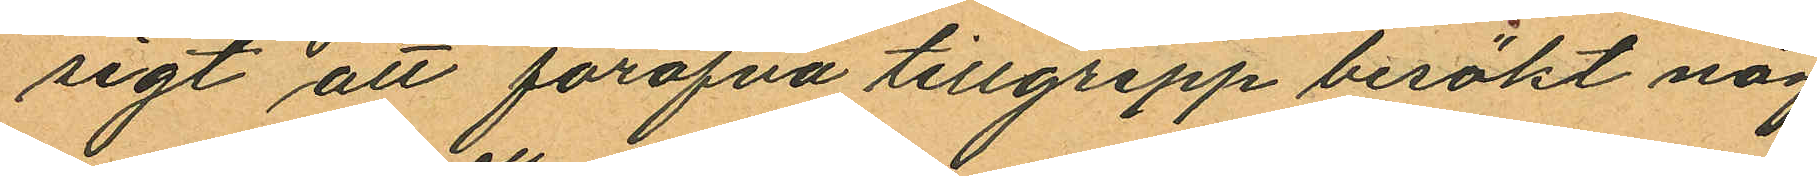sigt att föröfva tillgrepp besökt någ
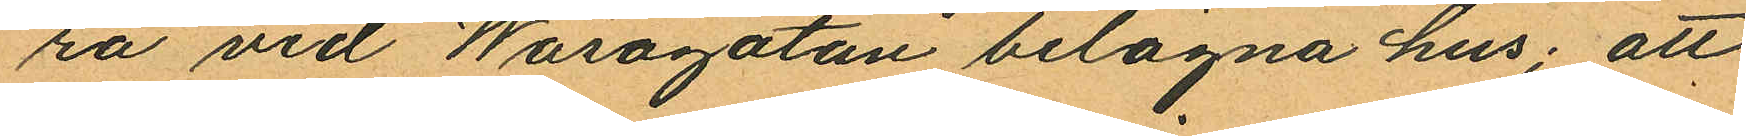ra vid Wasagatan belägna hus; att
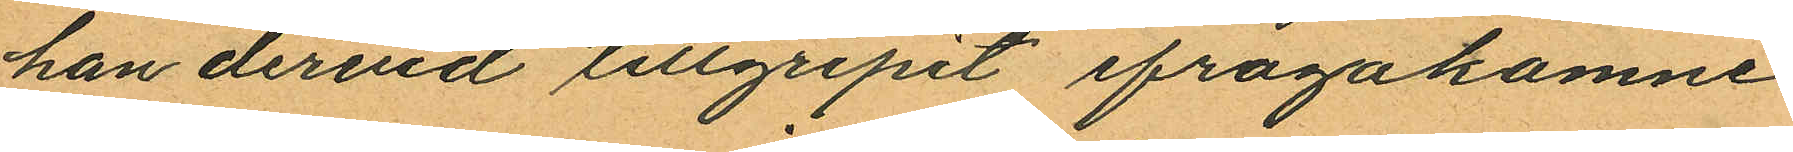han derid tillgripit ifrågakomne
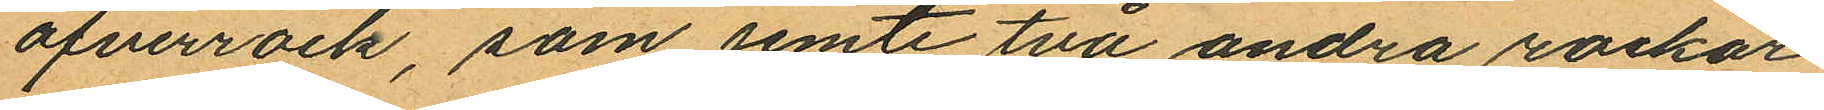öfverrock, som jemte två andra rockar
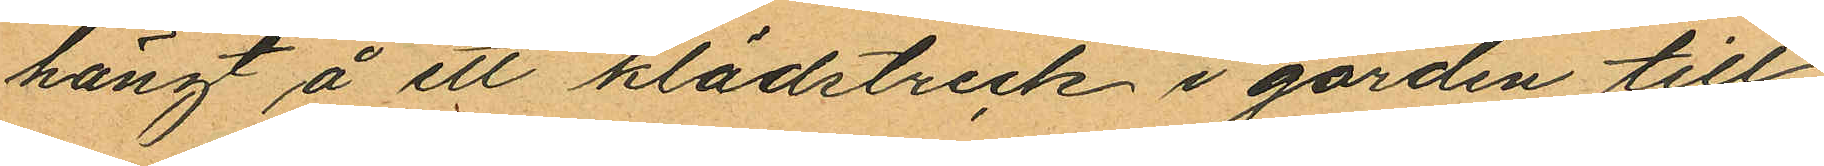hängt å ett klädstreck i gården till
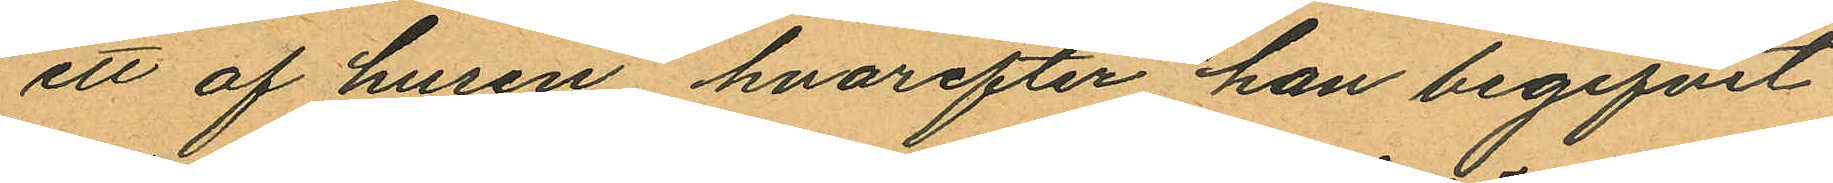ett af husen hvarefter han begifvit
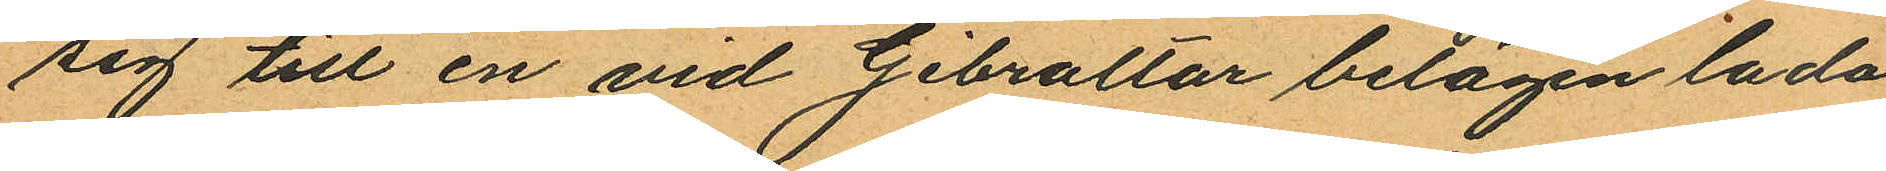sig till en vid Gibraltar belägen lada
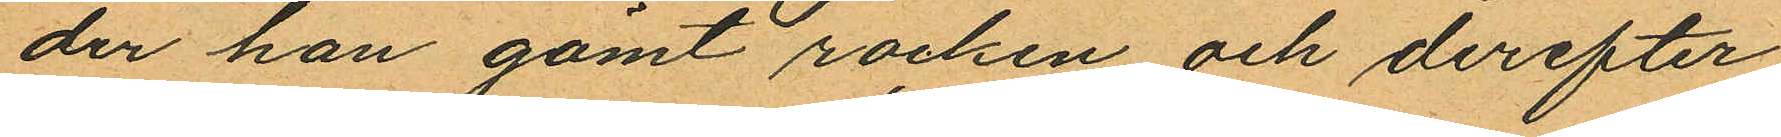der han gömt rocken och derefter
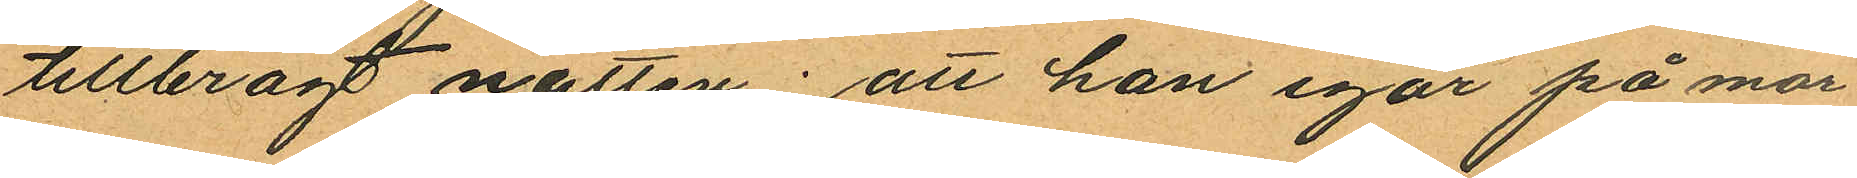tillbragt natten; att han igår på mor¬
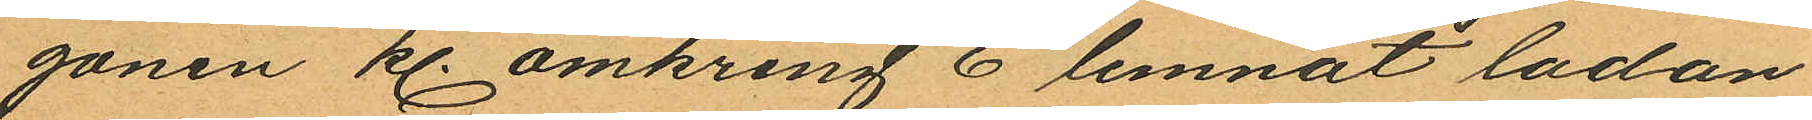gonen kl. omkring 6 lemnat ladan
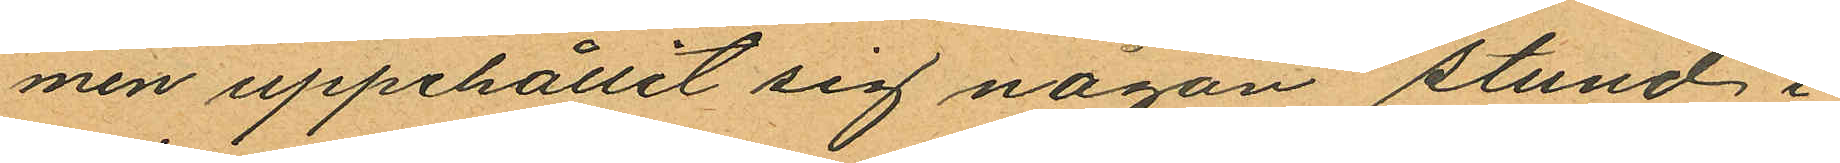men uppehållit sig någon stund i
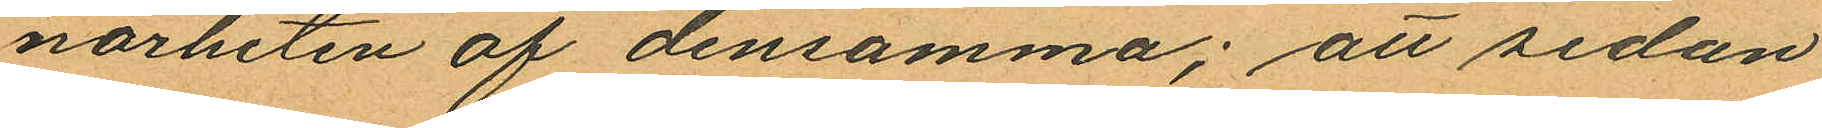närheten af densamma; att sedan
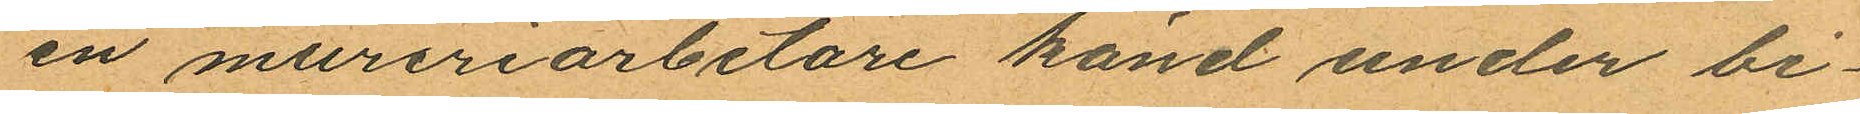en mureriarbetare känd under bi¬
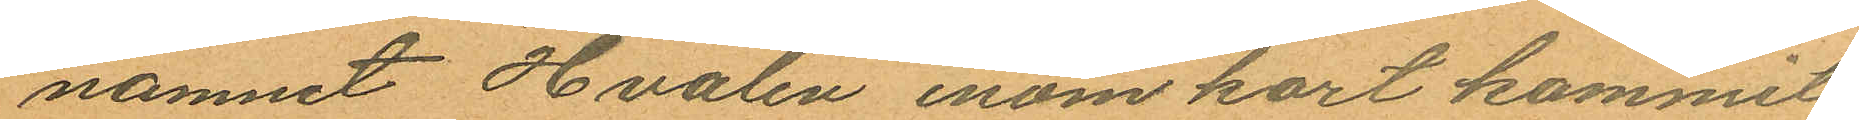namnet "Hvalen" inom kort kommit
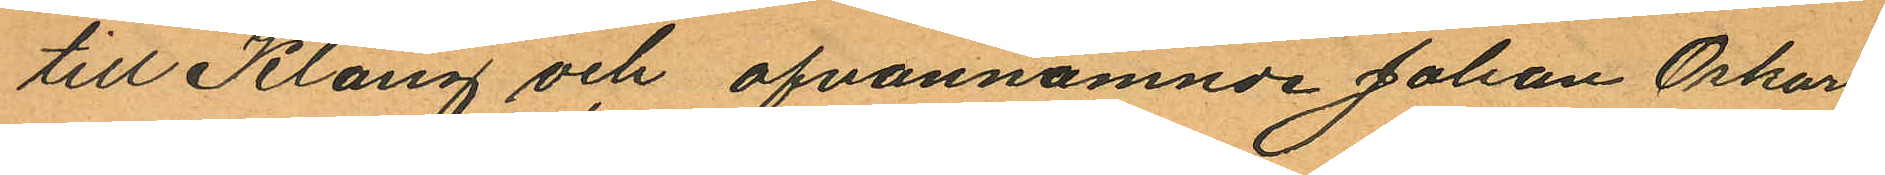till Klang och ofvannämnde Johan Oskar
